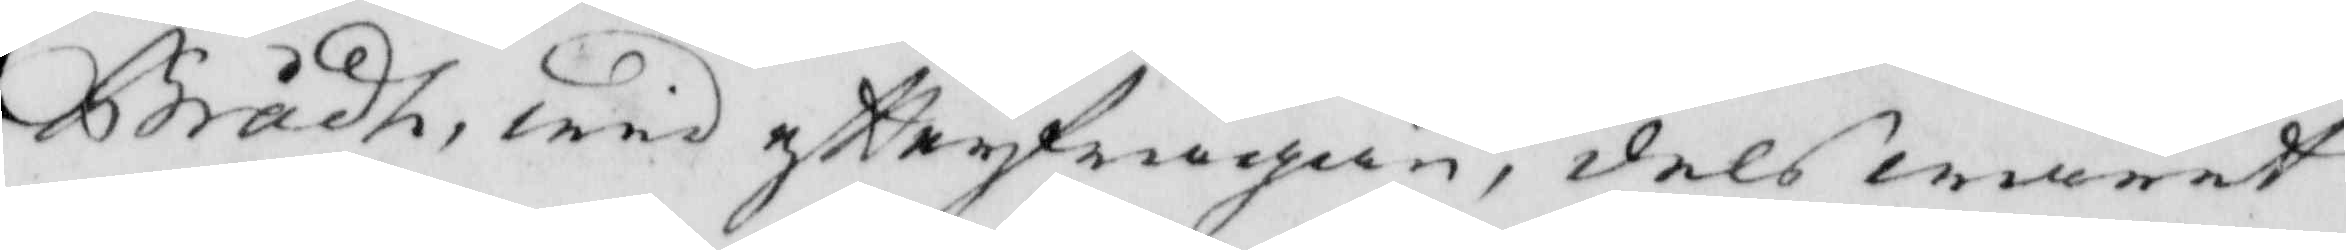Brådh, wed eftterfrågan, dels warit
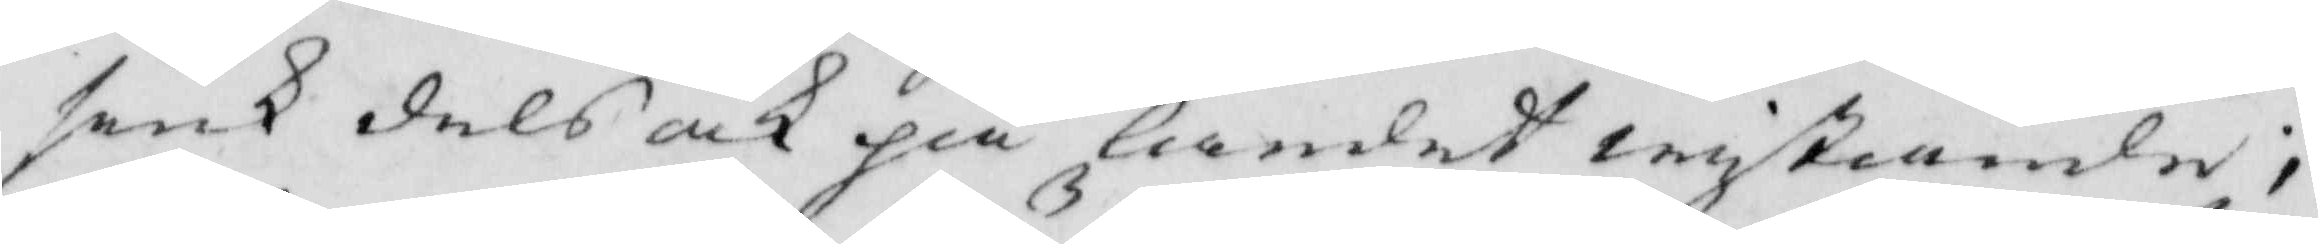sius dels och på landet wistiande;
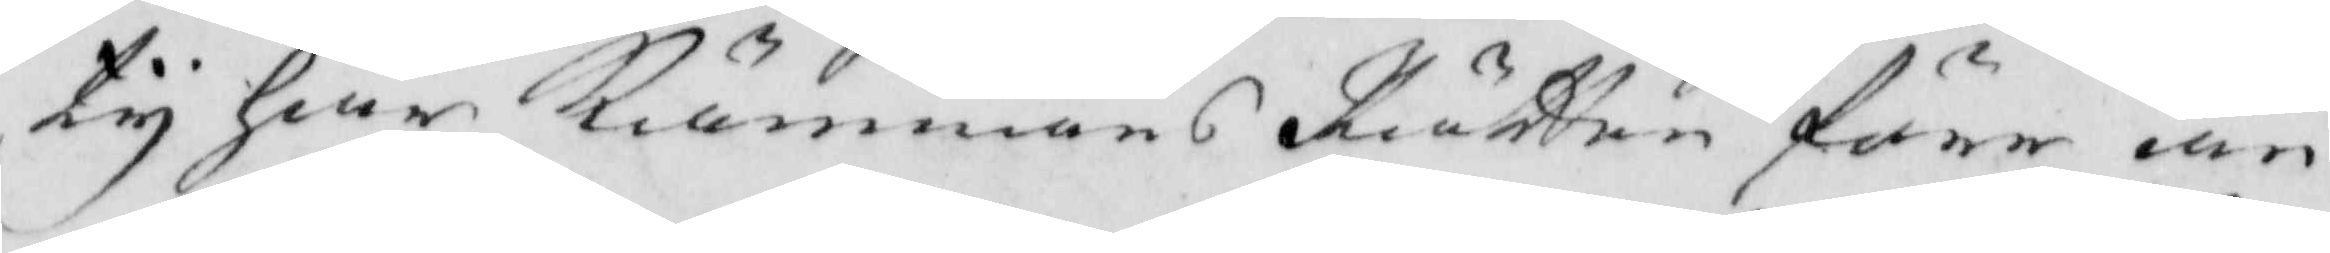ty haar Kiämnärs Rätten förr än
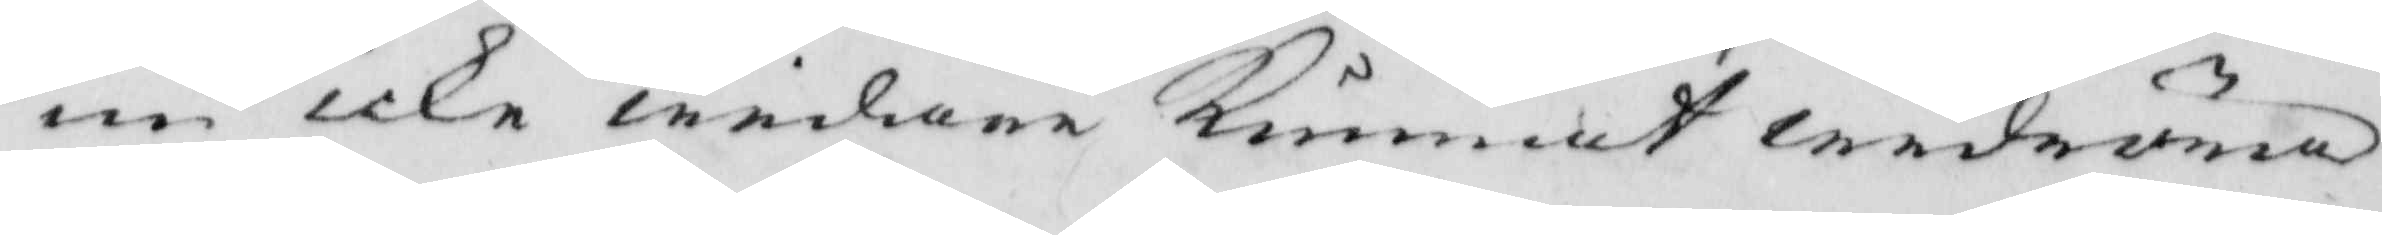nu icke widare Kunnat widröra
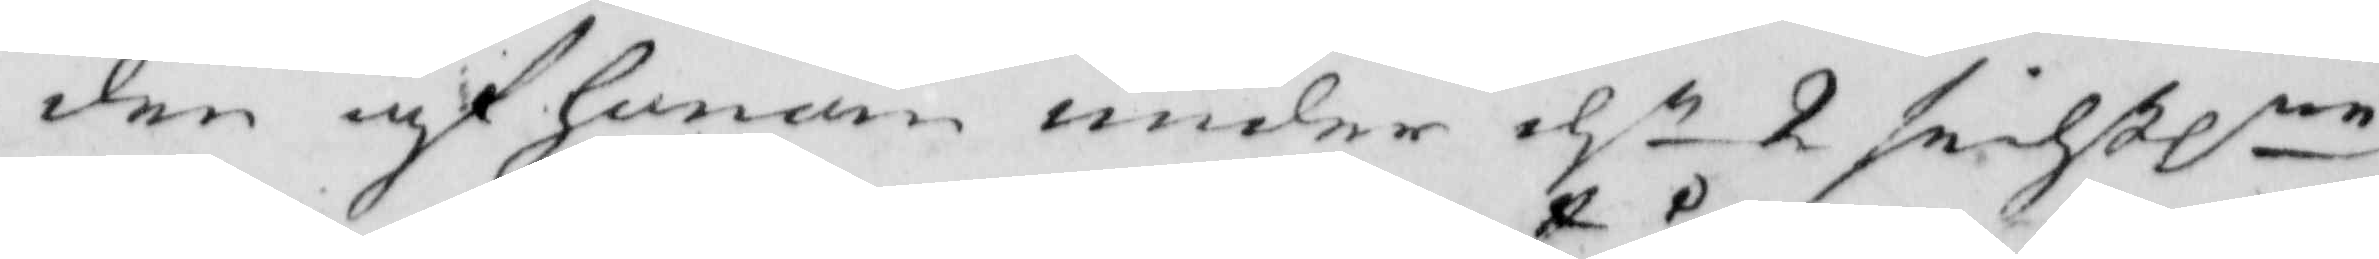den af honom under dn 2 sidstlne 
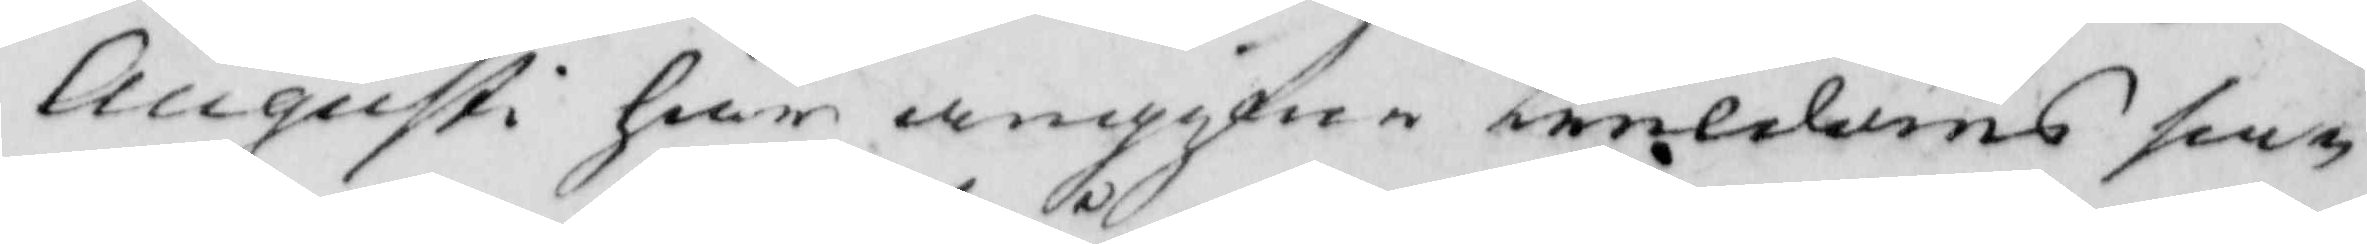Augusti här angifwe truldoms sa¬
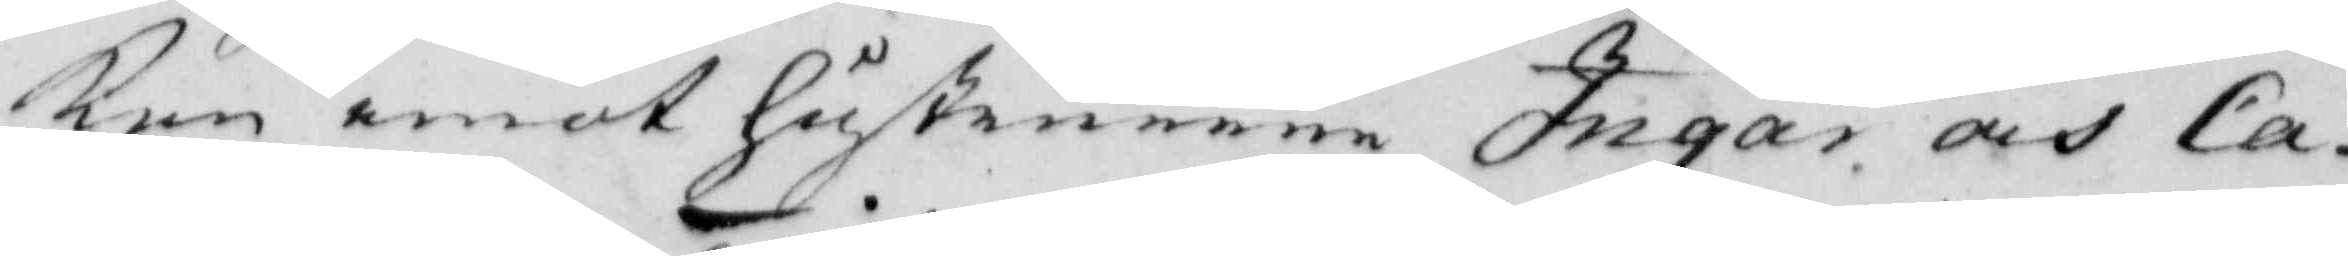ken emot Hustruerne Ingar och Ca¬
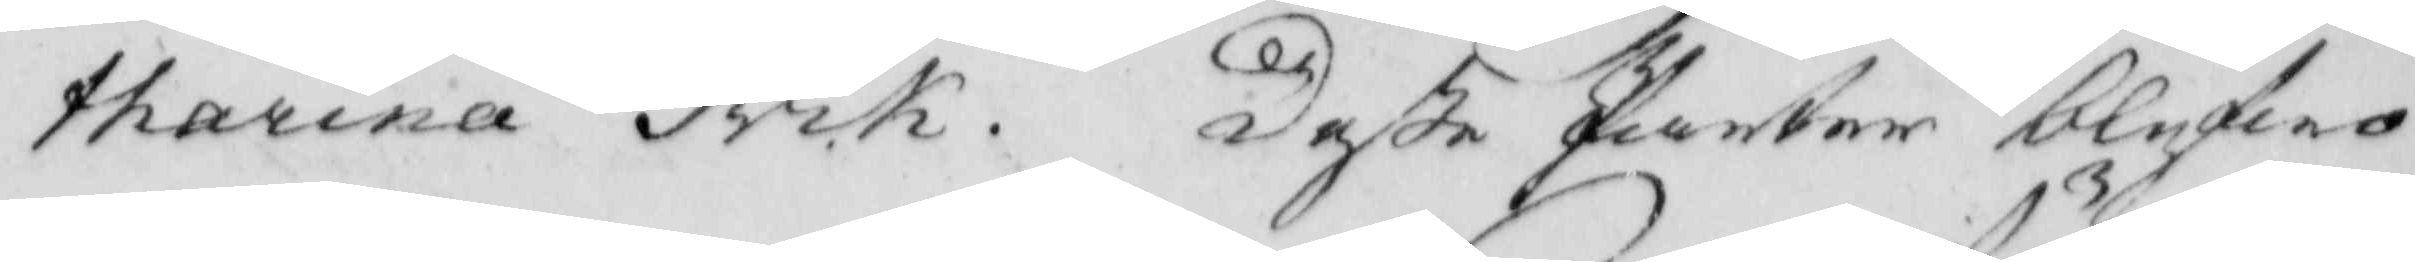tharina Trik. Deße Parter blifwo
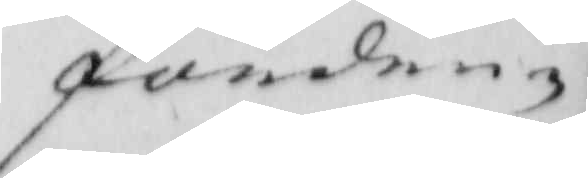förden¬
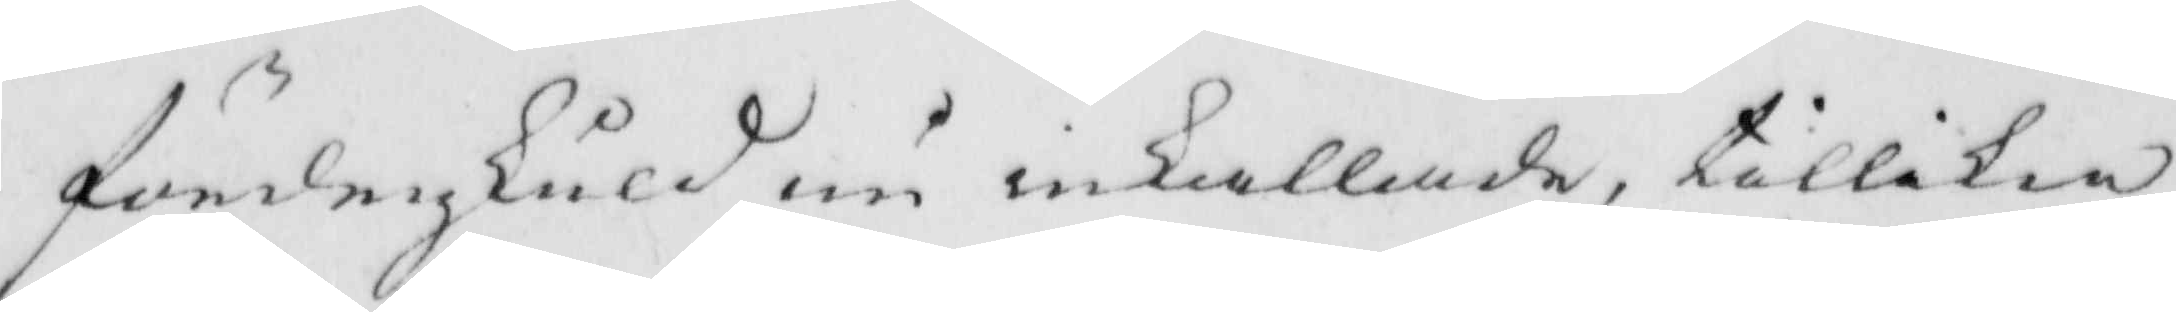fördenskuld nu inkallade, tillika
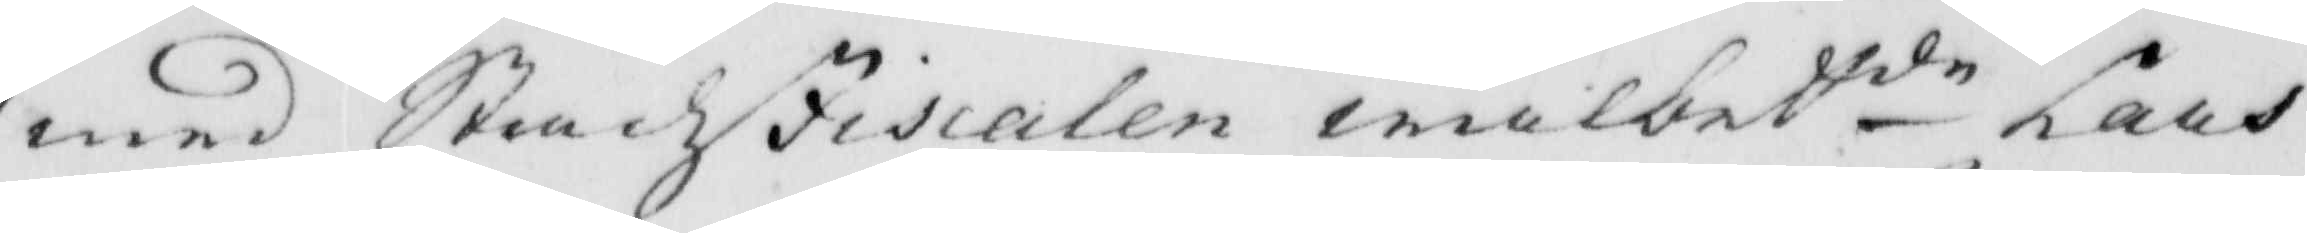med Stadzfiscalen wälbetde Lars 
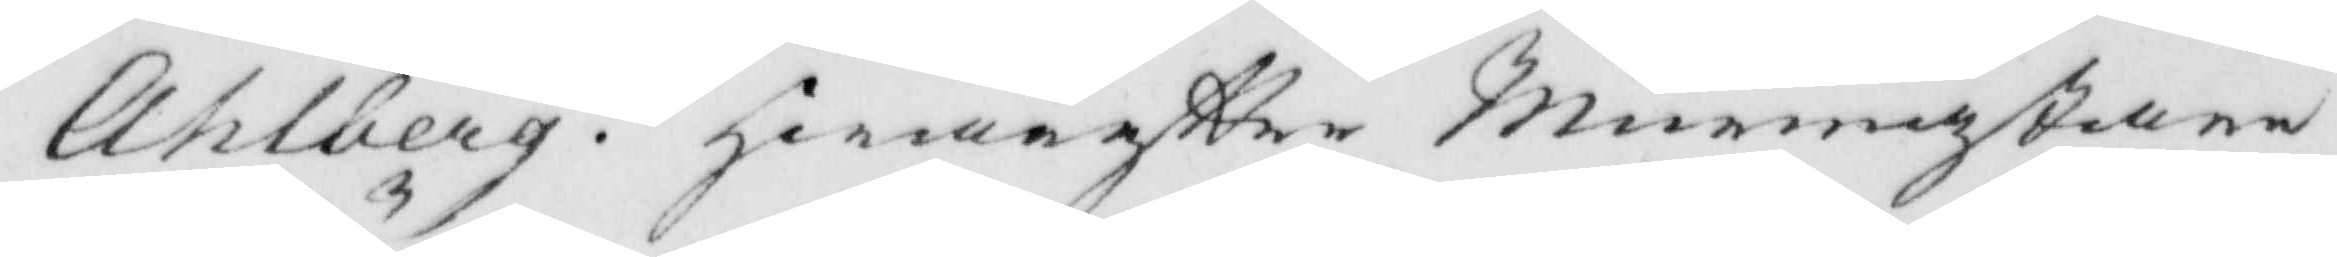Ahlberg: hwareftter Murmästare 
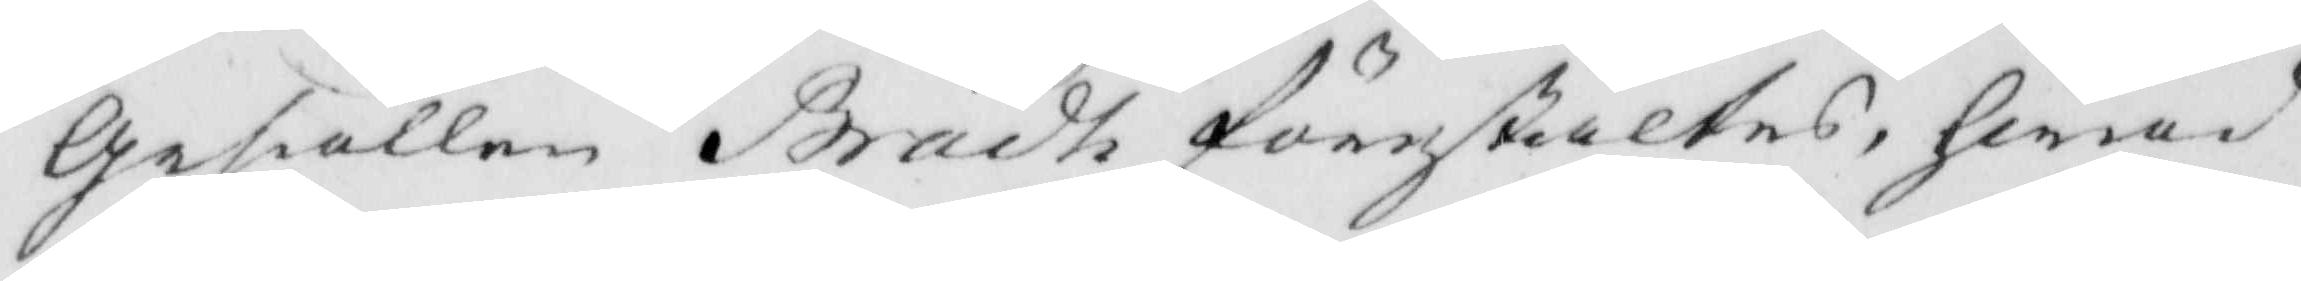Gesiällen Brådh förestältes, hwad
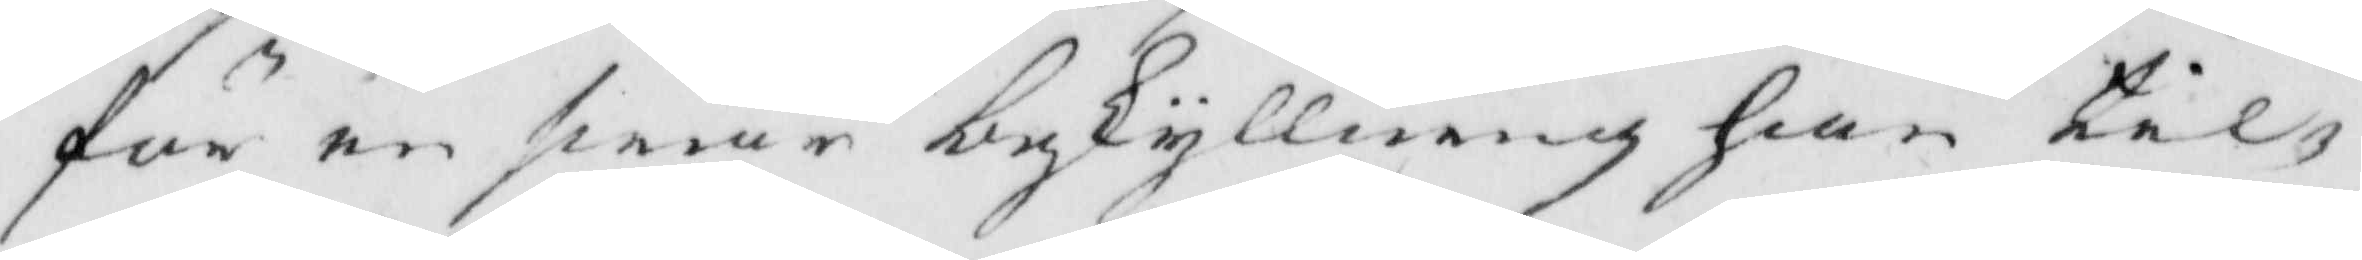för en swår beskyllning han til¬
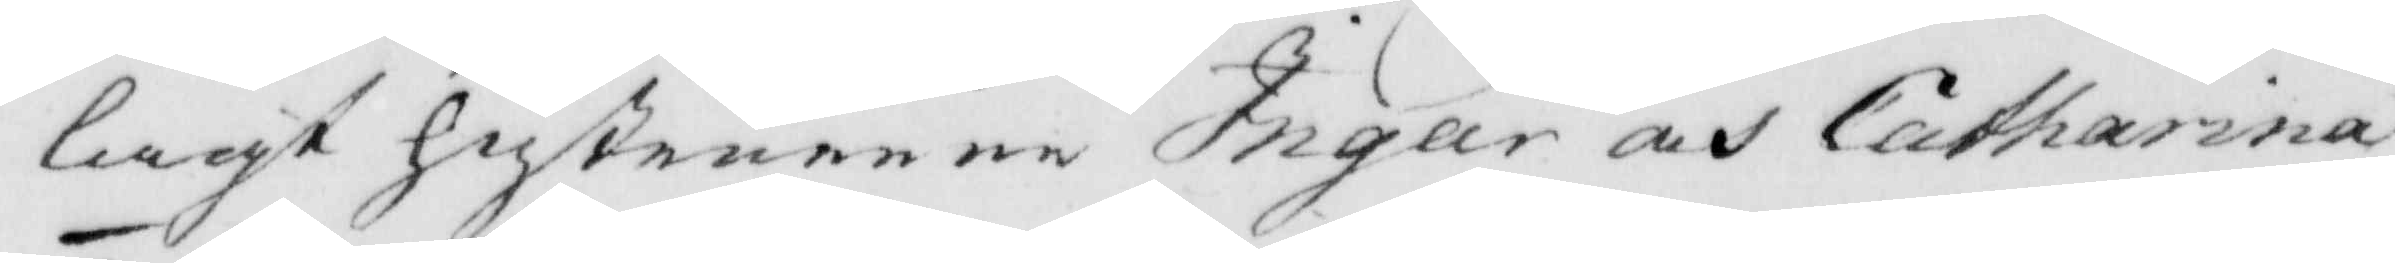lagt hustruerne Ingar och Catharina
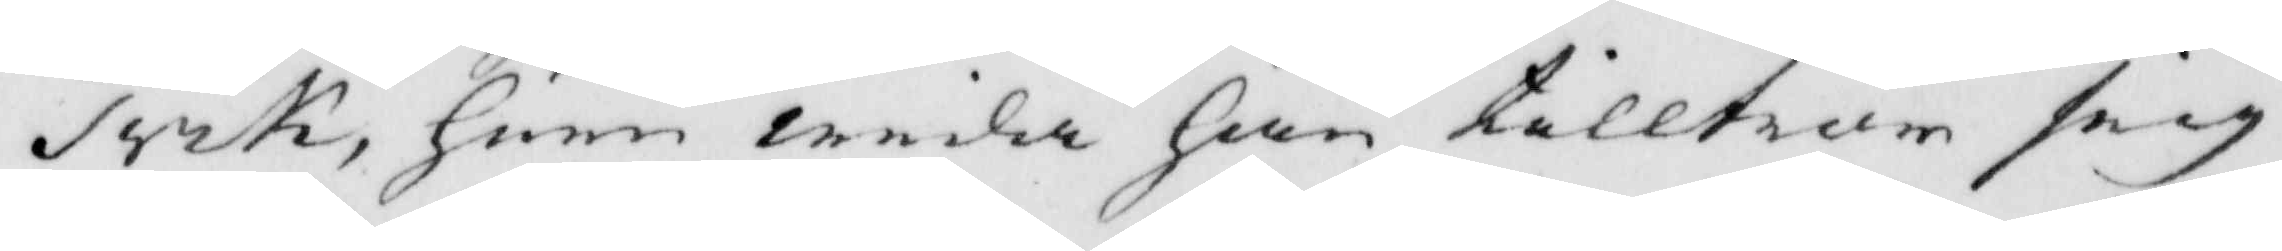Trik, huru wida han talltror sig
